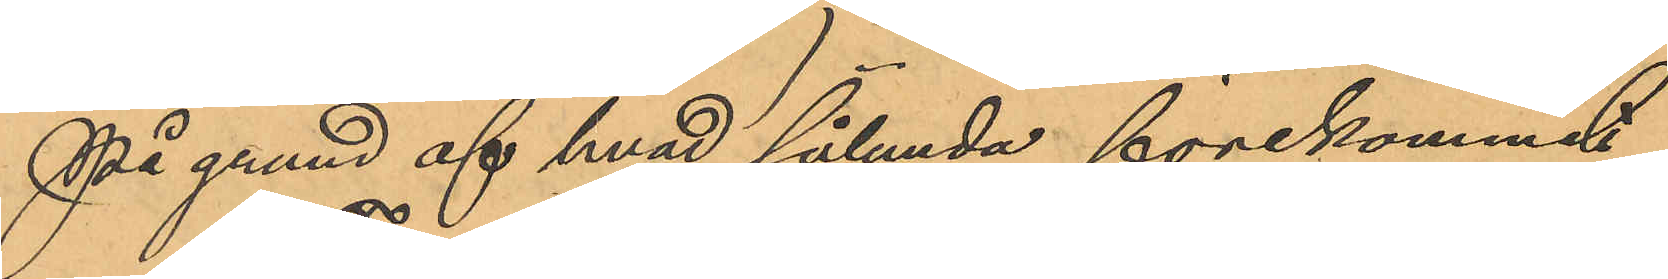På grund af hvad sålunda förekommit
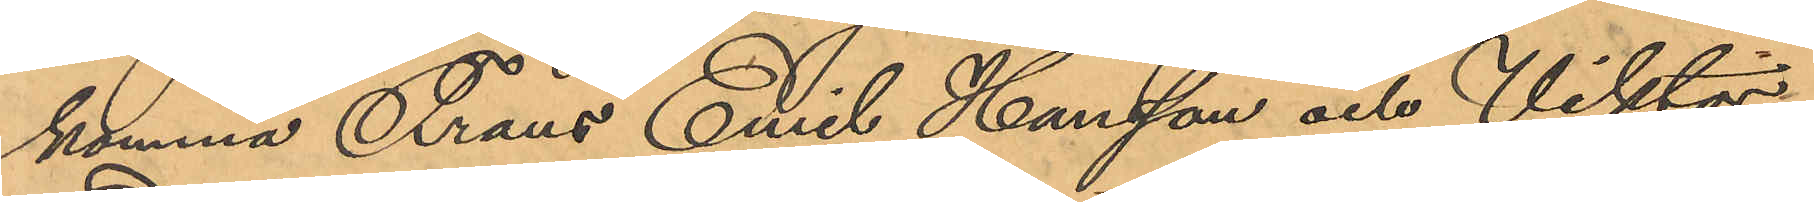komma Frans Emil Hansson och Viktor
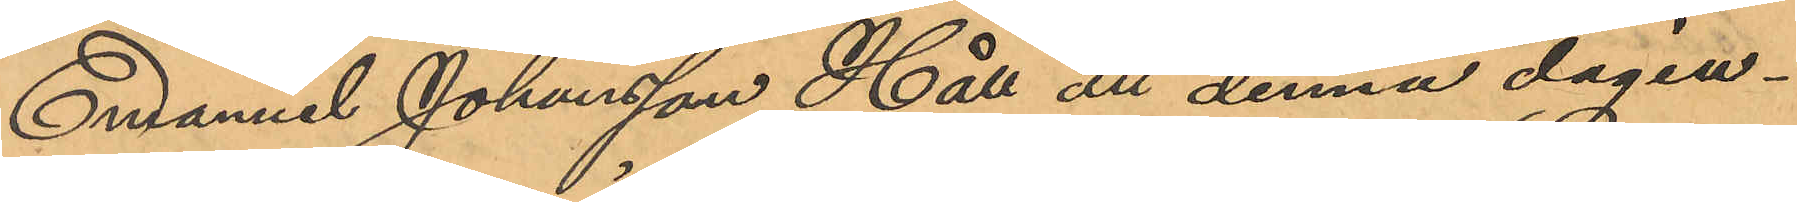Emanuel Johansson Håll att denna dag in¬
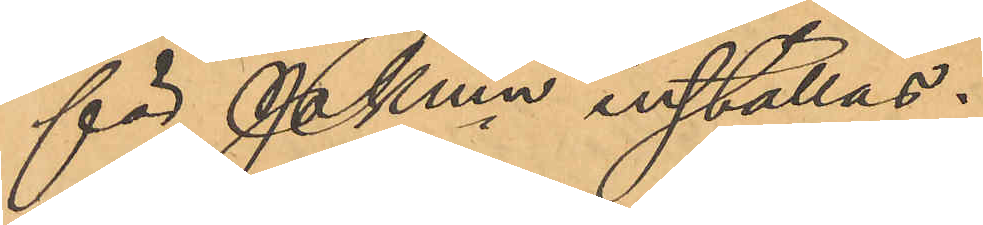för Pkmn inställas.
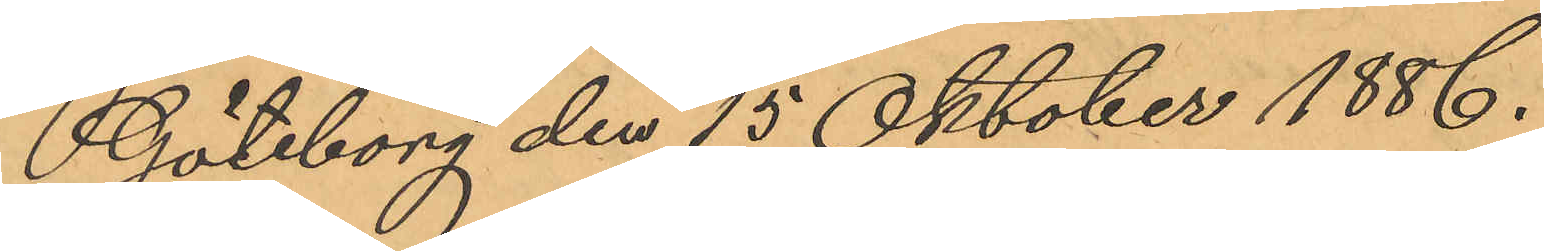Göteborg den 15 Oktober 1886.
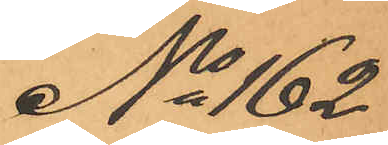No 162
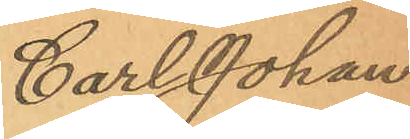Carl Johan
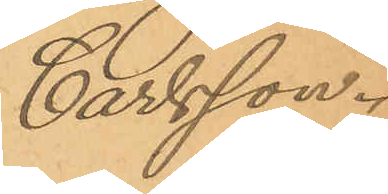Carlsson.
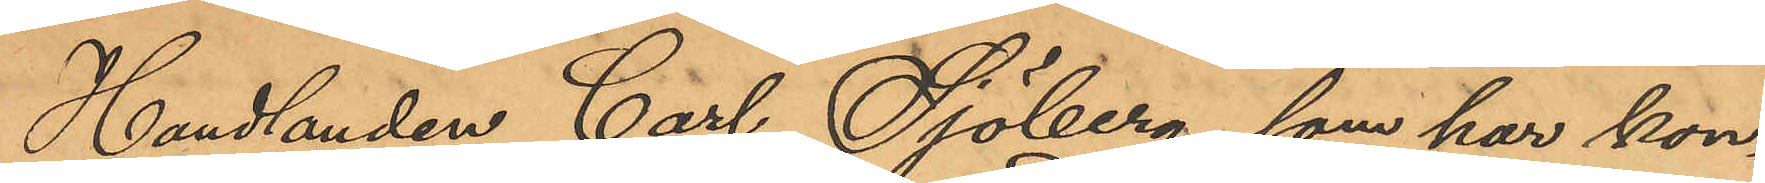Handlanden Carl Sjöberg, som har kon¬
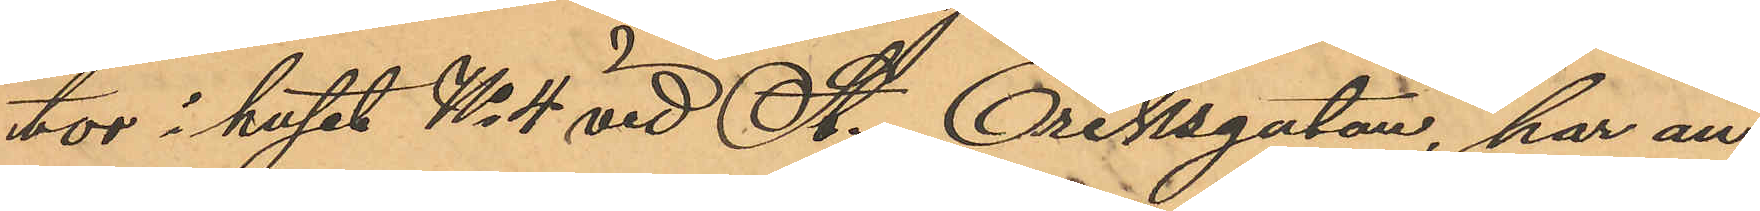tor i huset No 4 vid St. Eriksgatan, har an¬
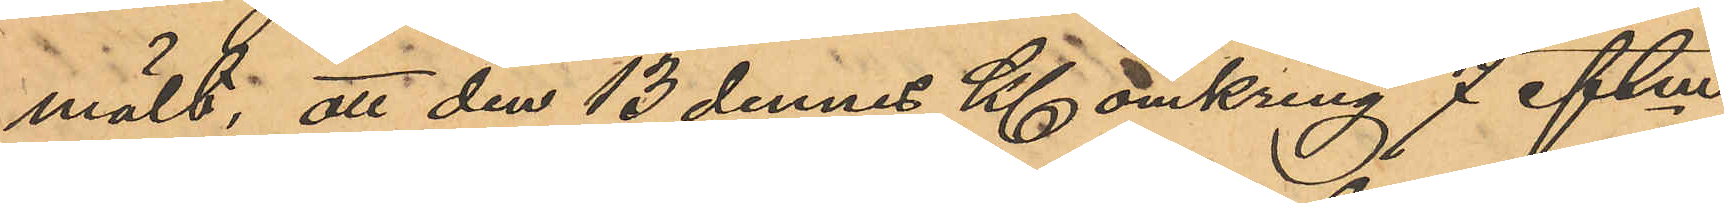mält, att den 13 dennes Kl. omkring 7 eftm
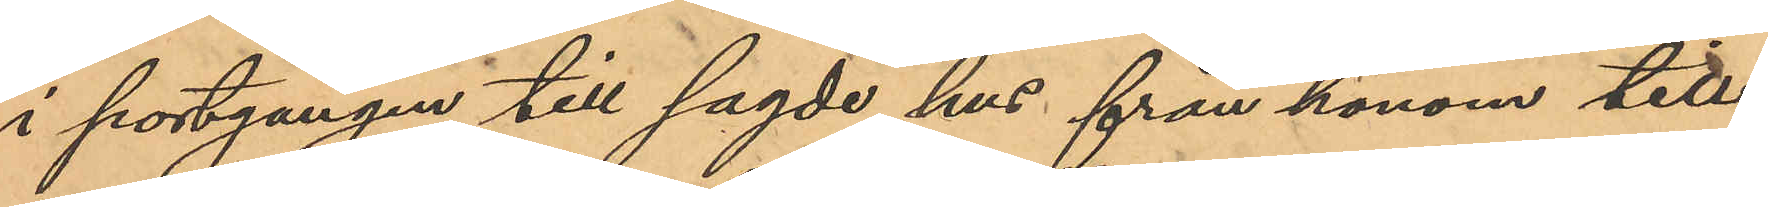i portgången till sagde hus från honom till¬
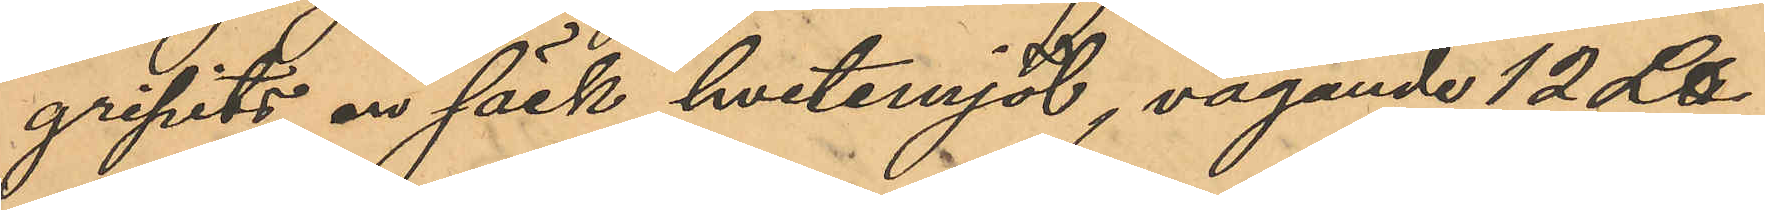gripits en säck hvetemjöl, vägande 12 ℔
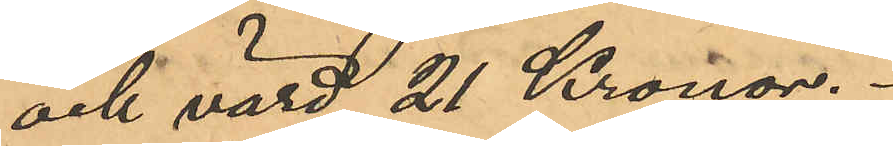och värd 21 Kronor.
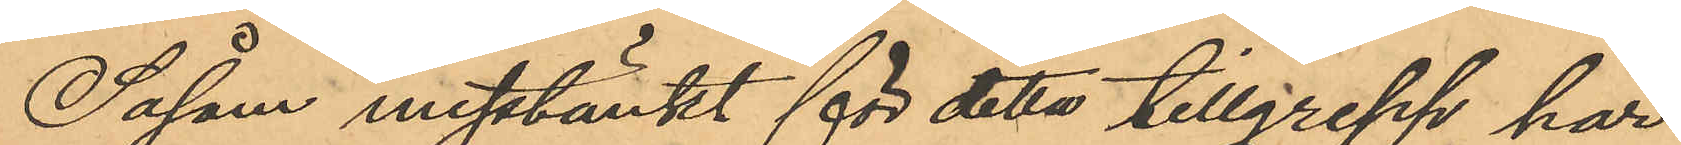Såsom misstänkt för detta tillgrepp har
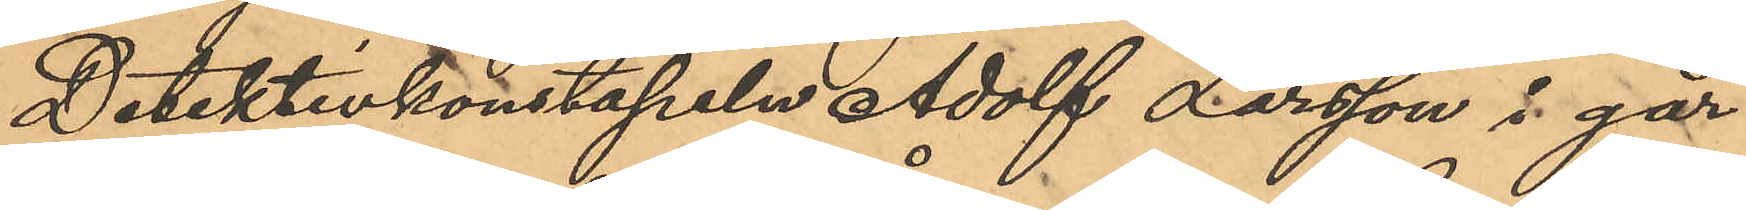Detektivkonstapeln Adolf Larsson i går
